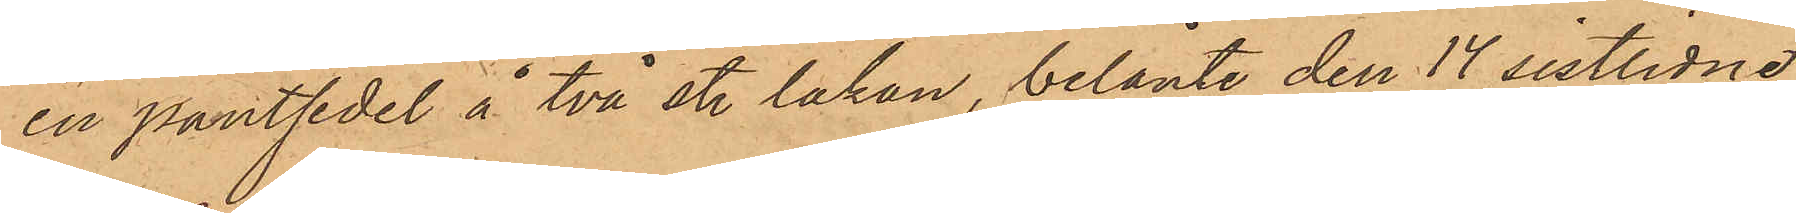en pantsedel å två st. lakan, belånte den 14 sistlidne
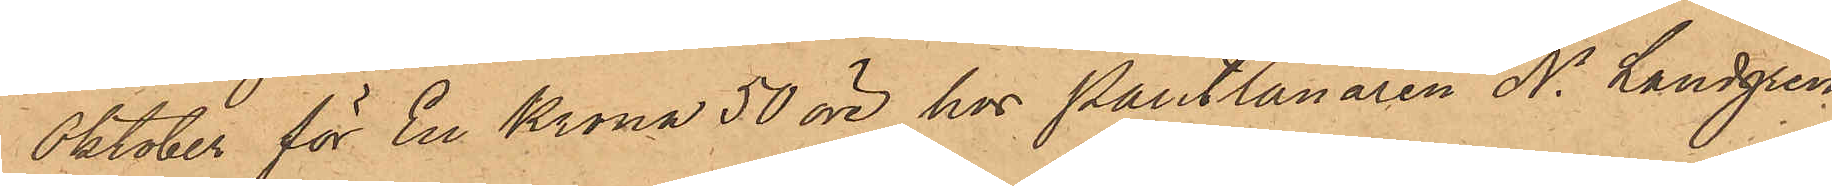Oktober för En Krona 50 öre hos Pantlånaren N. Landgren
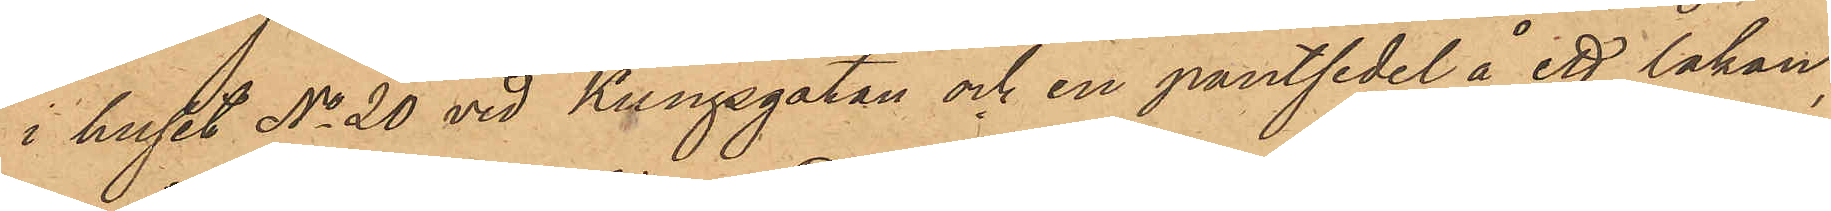i huset No 20 vid Kungsgatan och en pantsedel å ett lakan,
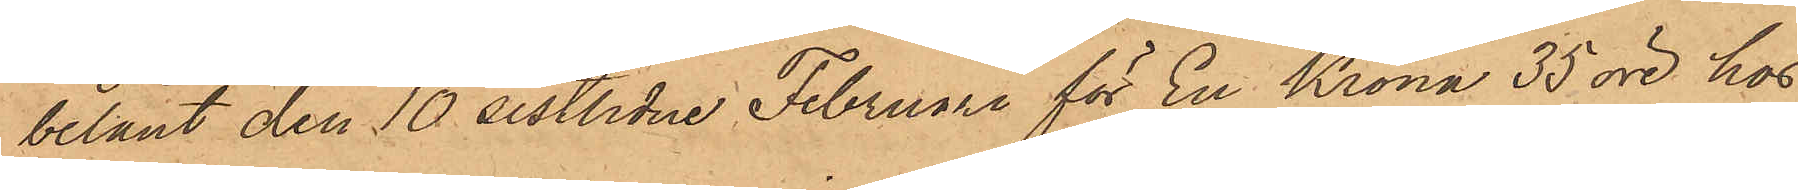belånt den 10 sistlidne Februari för En Krona 35 öre hos
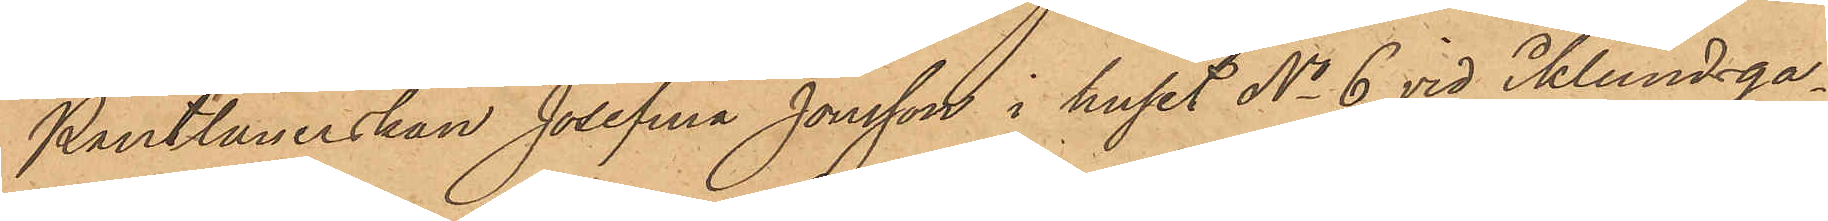Pantlånerskan Josefina Jonsson i huset No 6 vid Eklundsga¬
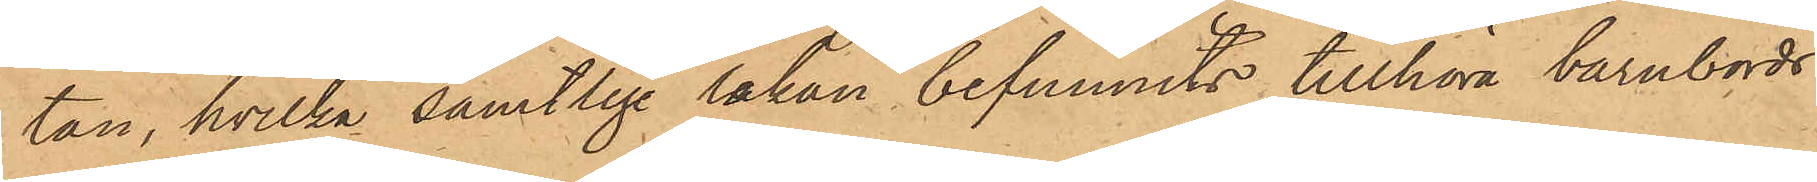tan, hvilka samtlige lakan befunnits tillhöra barnbörds¬
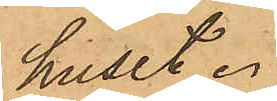huset.
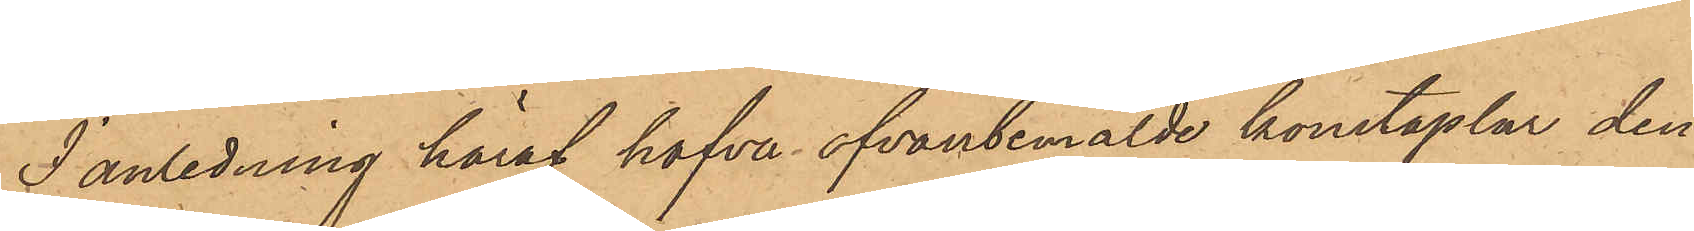I anledning häraf hafva ofvanbemälde konstaplar den
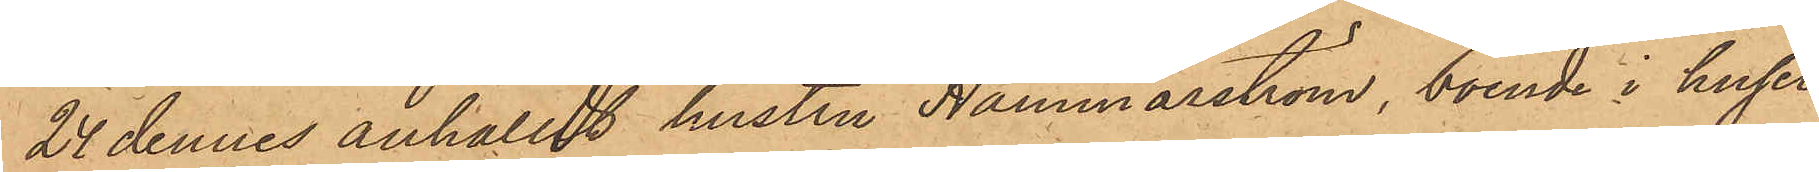24 dennes anhållit hustru Hammarström, boende i huset
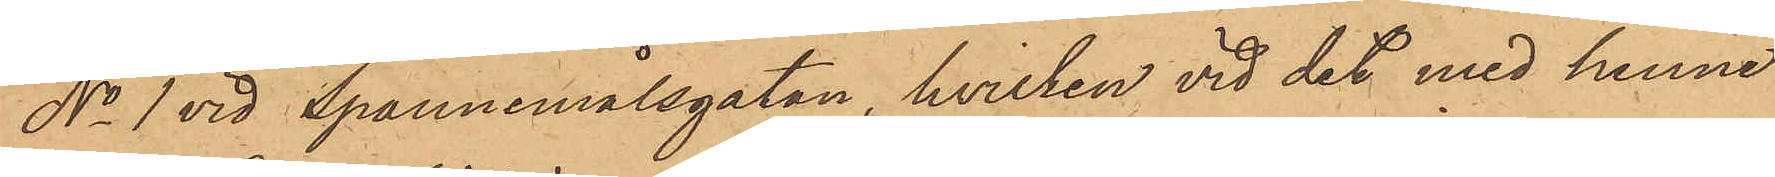No 1 vid Spannmålsgatan, hvilken vid det med henne
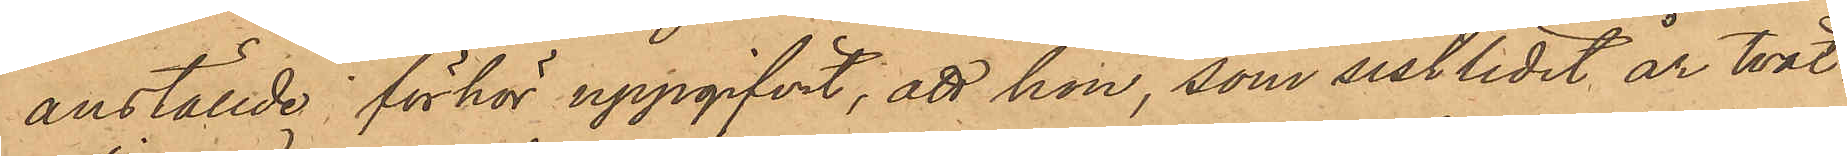anställde förhör uppgifvit, att hon, som sistlidet år tvät¬
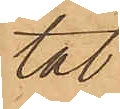tat
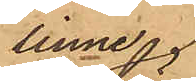linne
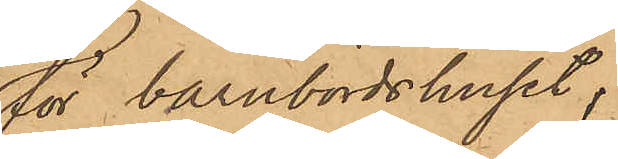för barnbördshuset;
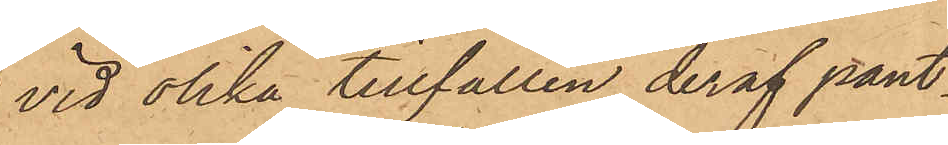vid olika tillfällen deraf pant¬
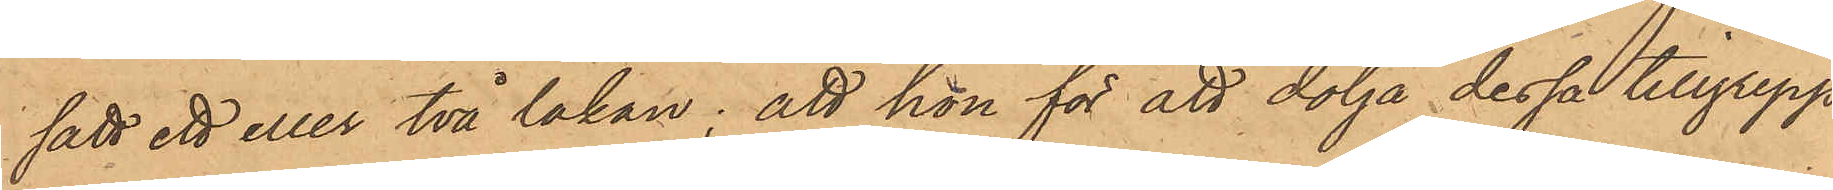satt ett eller två lakan; att hon för att dölja dessa tillgrepp
